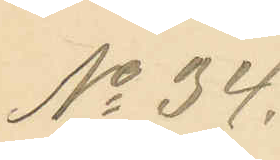No 34.
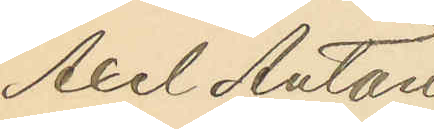Axel Anton
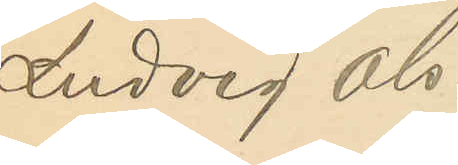Ludvig Ols¬
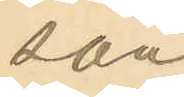son.
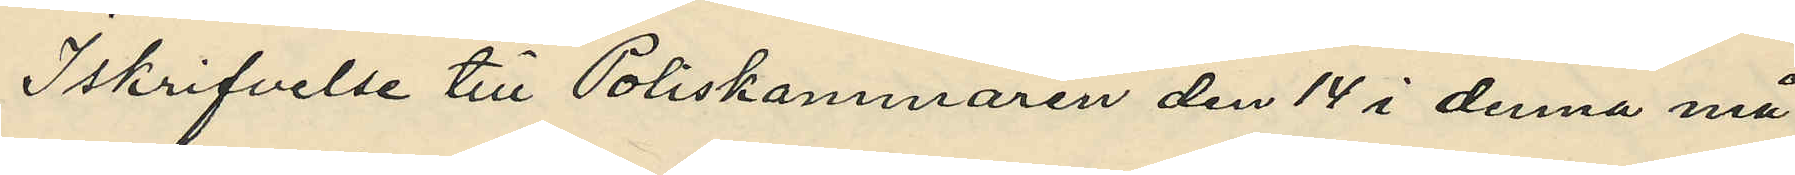I skrifvelse till Poliskammaren den 14 i denna må¬
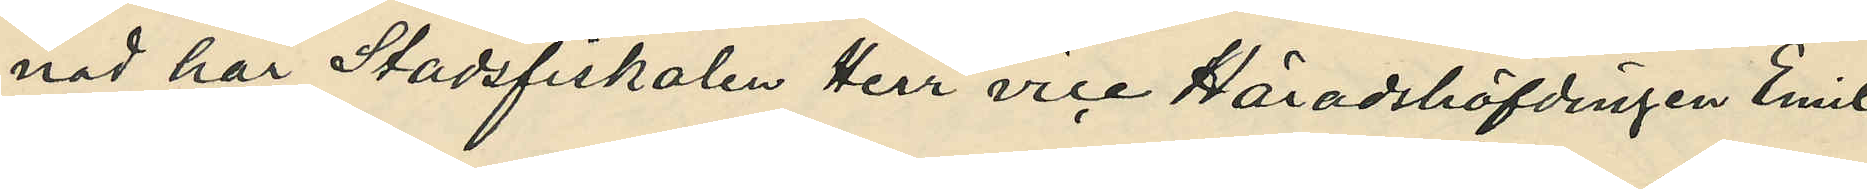nad har Stadsfiskalen Herr vice Häradshöfdingen Emil
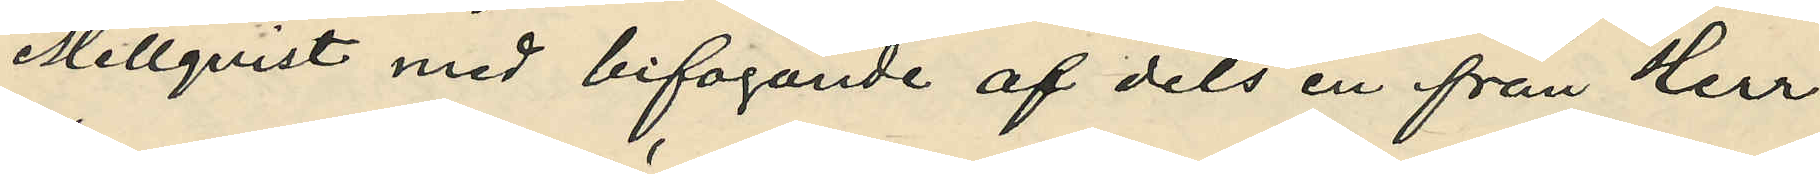Mellqvist med bifogande af dels en från Herr
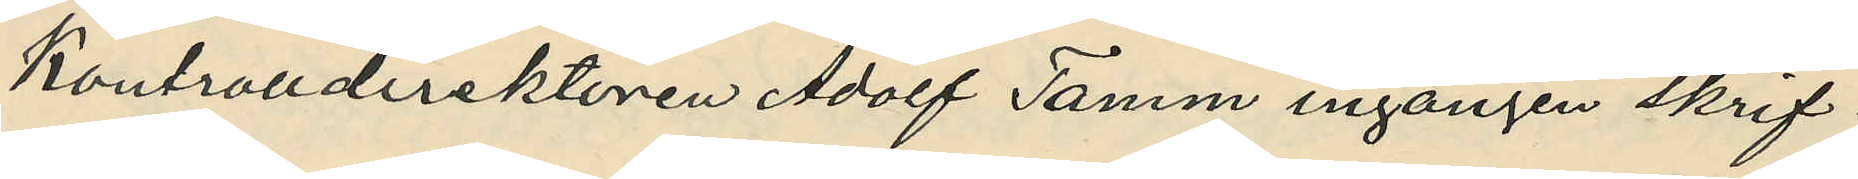Kontrolldirektören Adolf Tamm ingången skrif¬
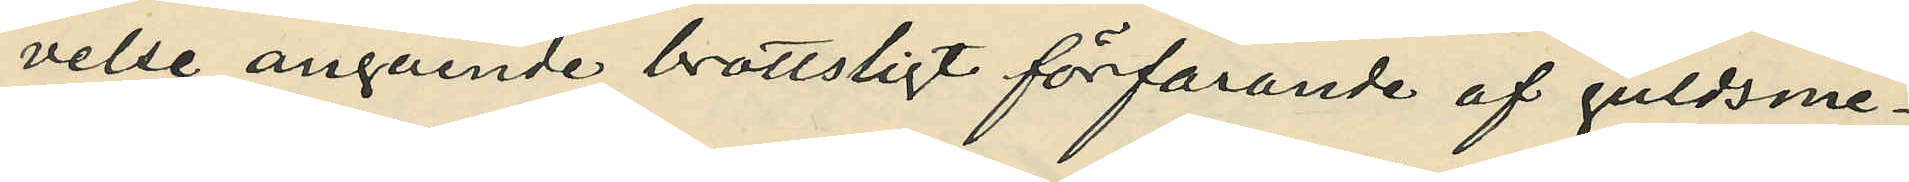velse angående brottsligt förfarande af guldsme¬
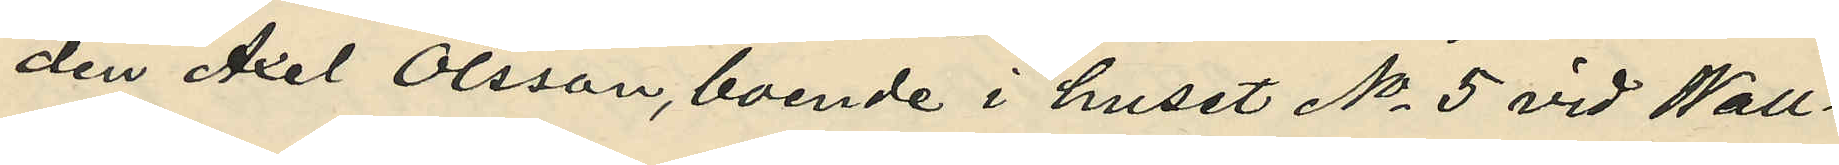den Axel Olsson, boende i huset No 5 vid Wall¬
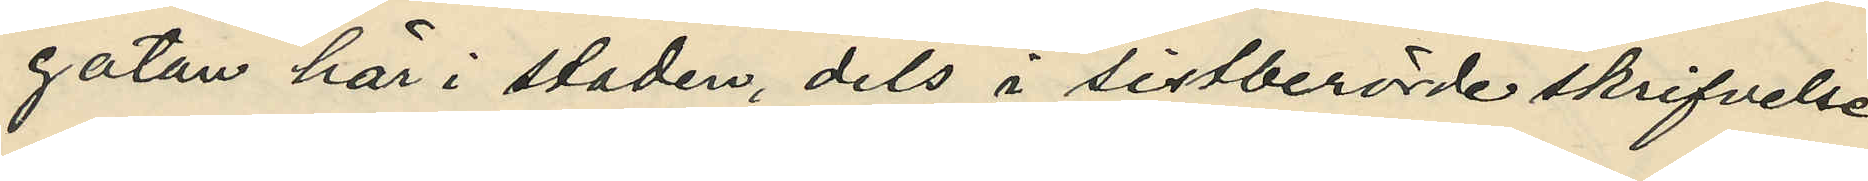gatan här i staden, dels i sistberörde skrifvelse
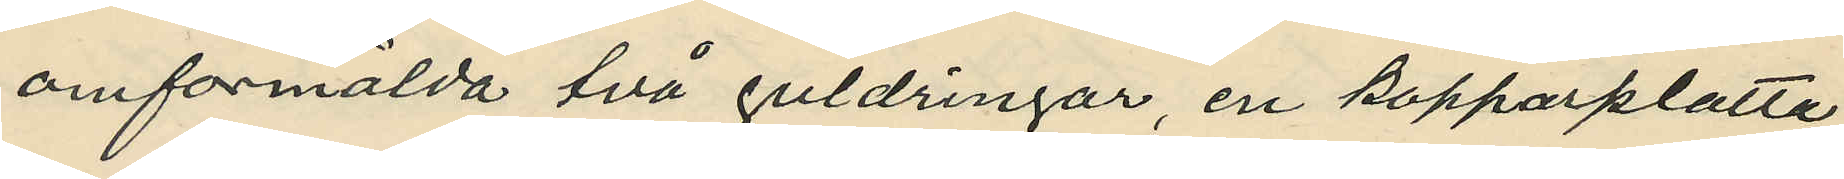omförmälda två guldringar, en kopparplatta
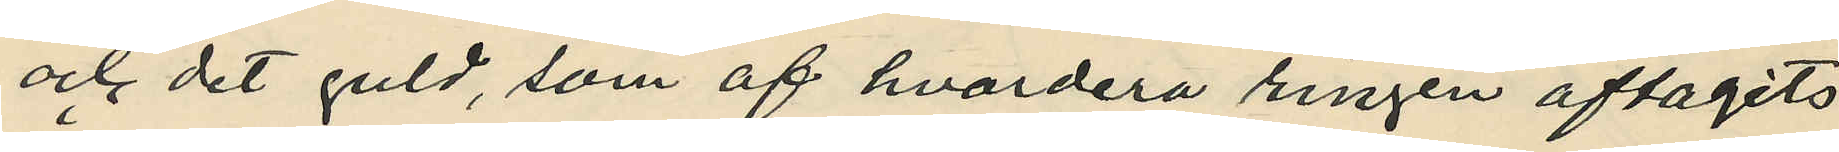och det guld, som af hvardera ringen aftagits
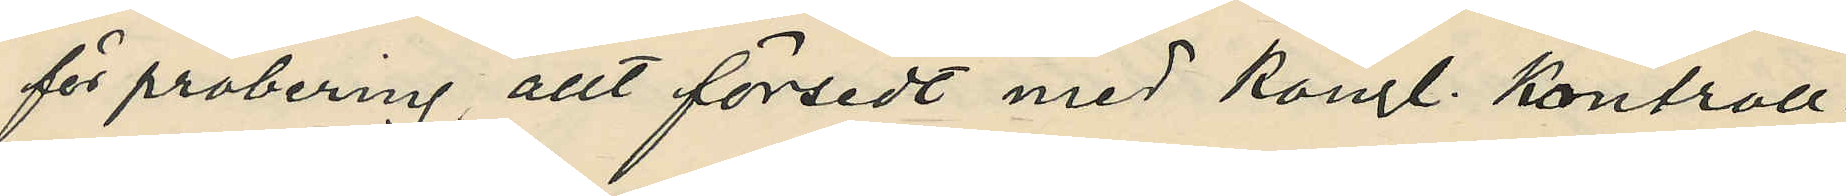för probering, allt försedt med Kongl. kontroll¬
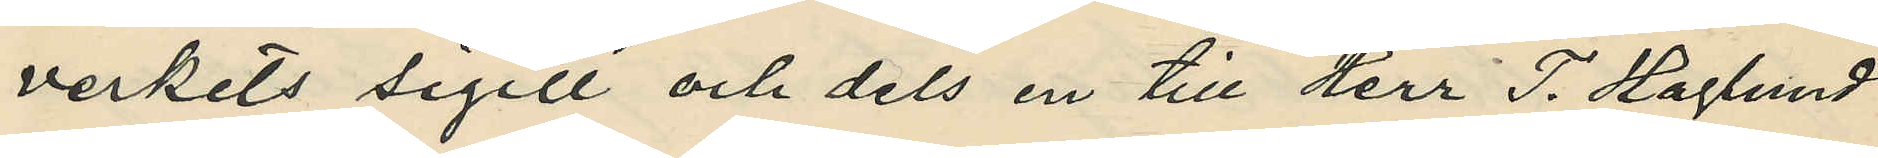verkets sigill och dels en till Herr T. Haglund
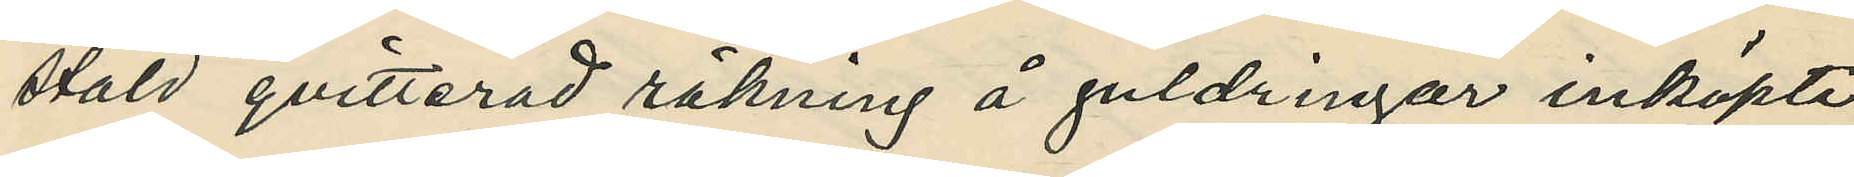stäld qvitterad räkning å guldringar inköpte
